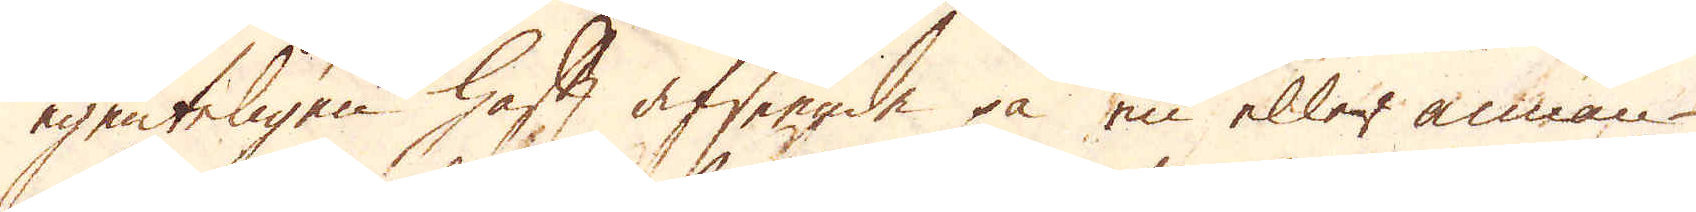egenteligen haft afseende på en eller annan
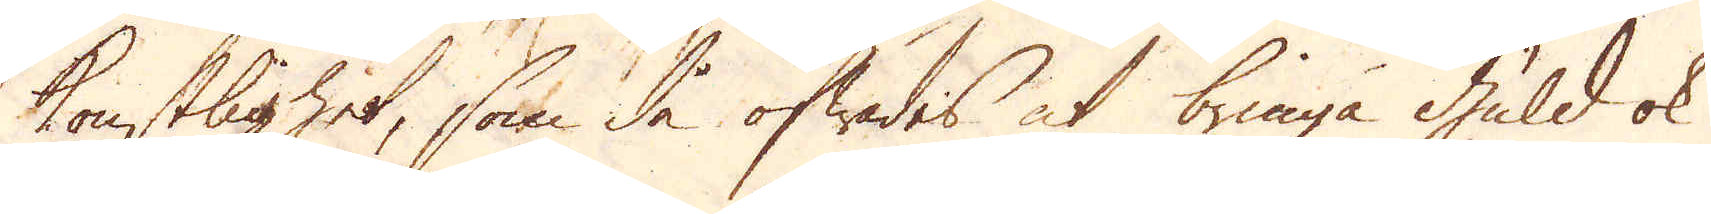konstlighet, som då öfwades at bringa Guld ok
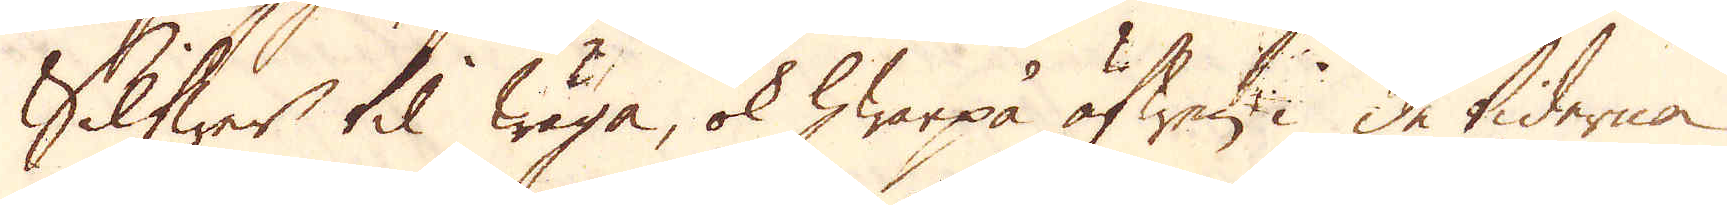Silfwer til wäga, ok hwarpå äfwen i de tiderna
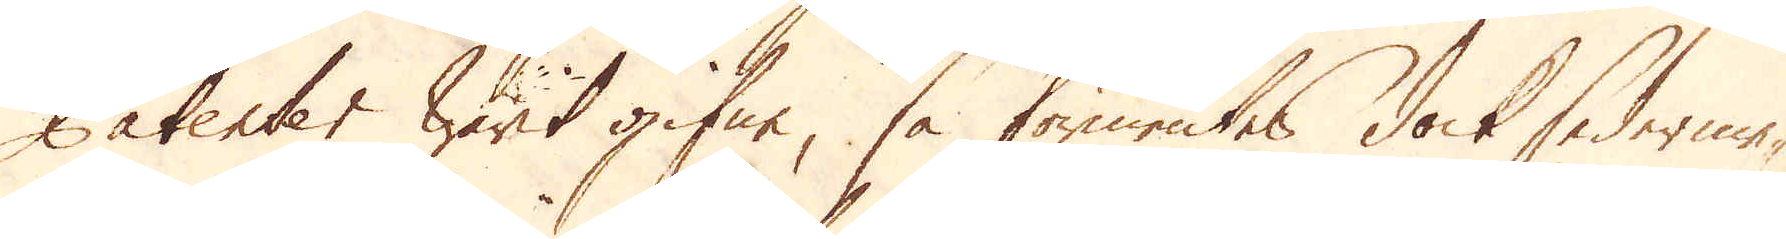Patenter warit gifne, så förmentes dock sederme-
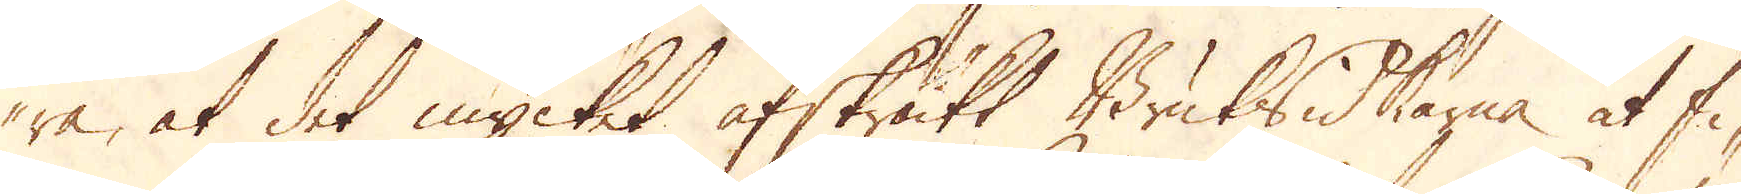ra, at det mycket afskräkt Bruksidkarna at fi-
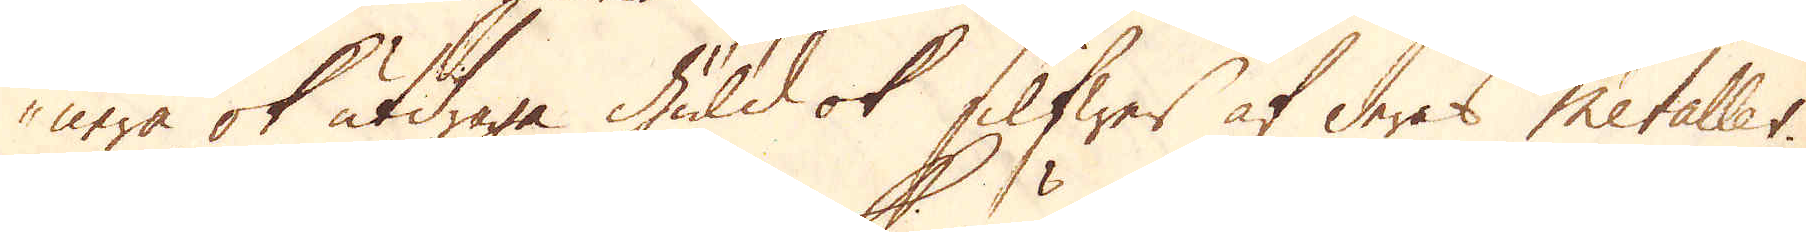nera ok utdraga guld ok Silfwer af deras Metaller.
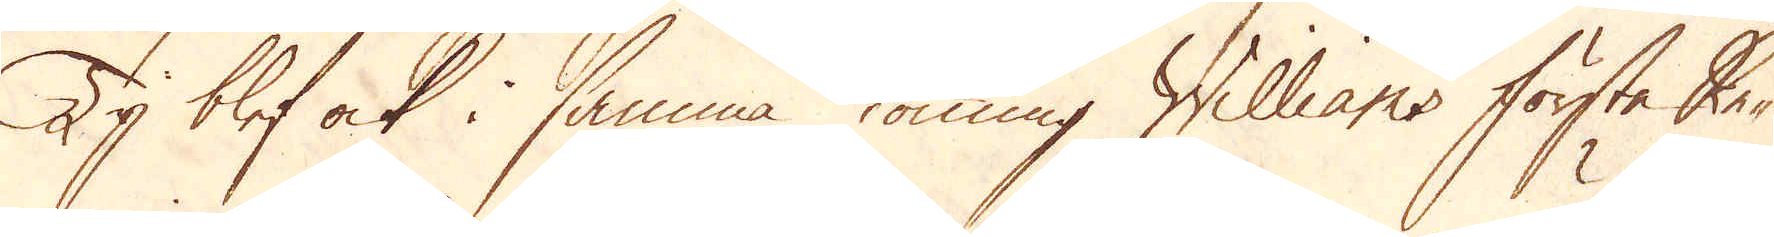Ty blef ock i samma Konung Williams förste Re-
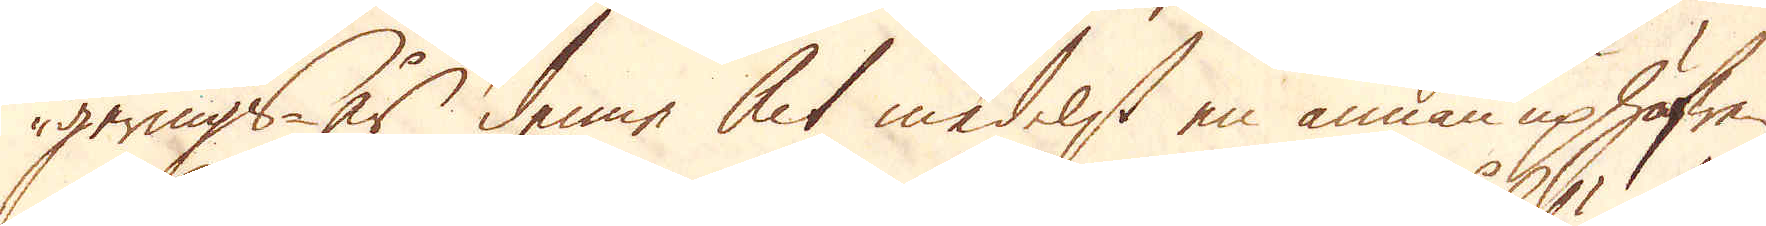gerings år denne Act medelst en annan uphöfren,
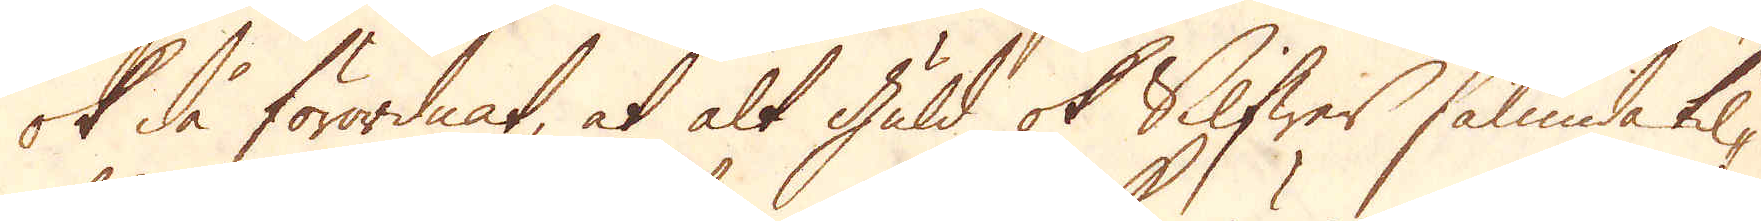ok då förordnat, at alt guld ok Silfwer sålunda til-
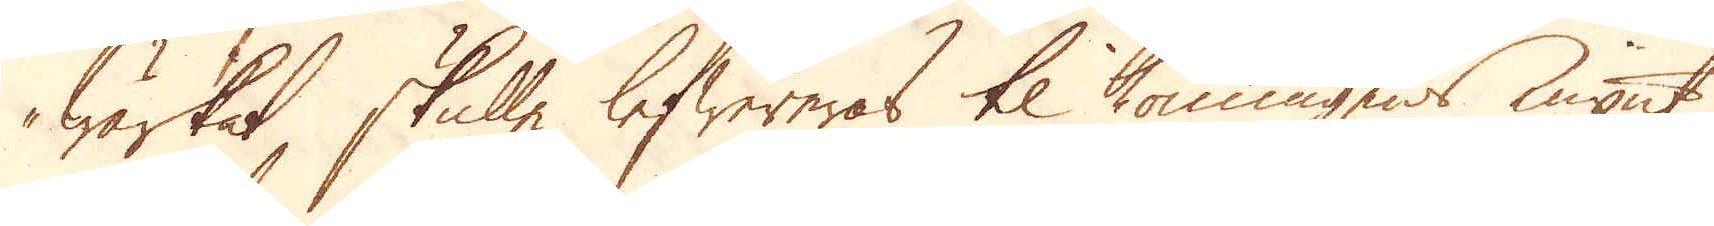wärkat, skulle lefwereras til Konungens mynt
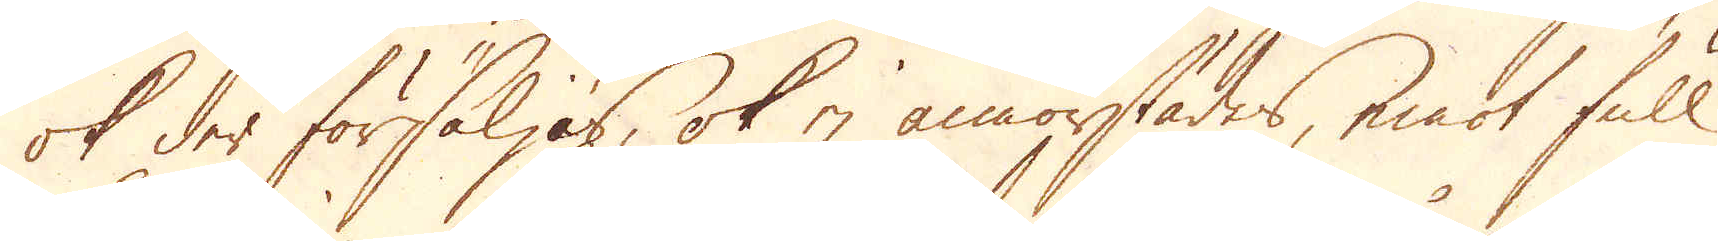ok der försäljas, ok ej annorstädes, emot full
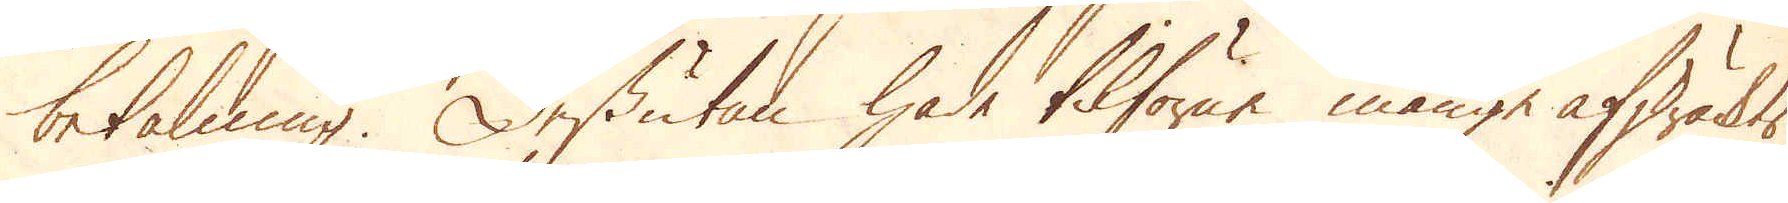betalning. Dessutan hade tilförne månge afskräckts
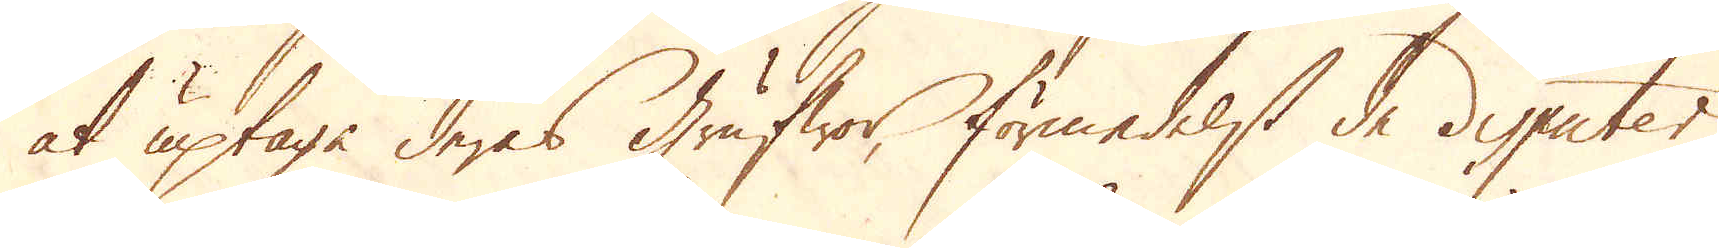at uptaga deras grufwor, förmedelst de disputer
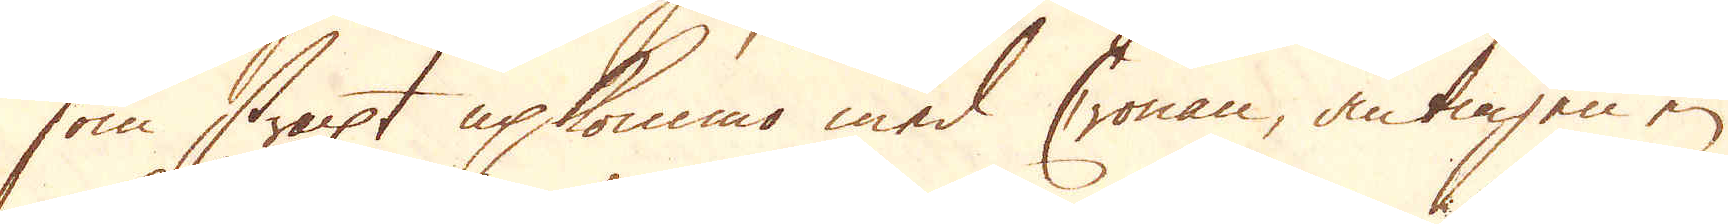som straxt upkommo med Cronan, antingen en
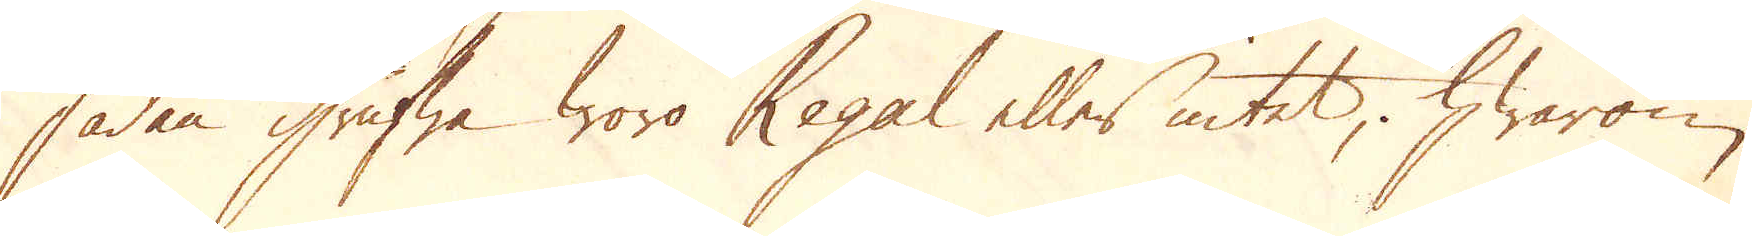sådan grufwa woro Regal eller intet, hwarom
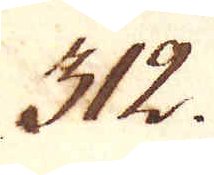312.
